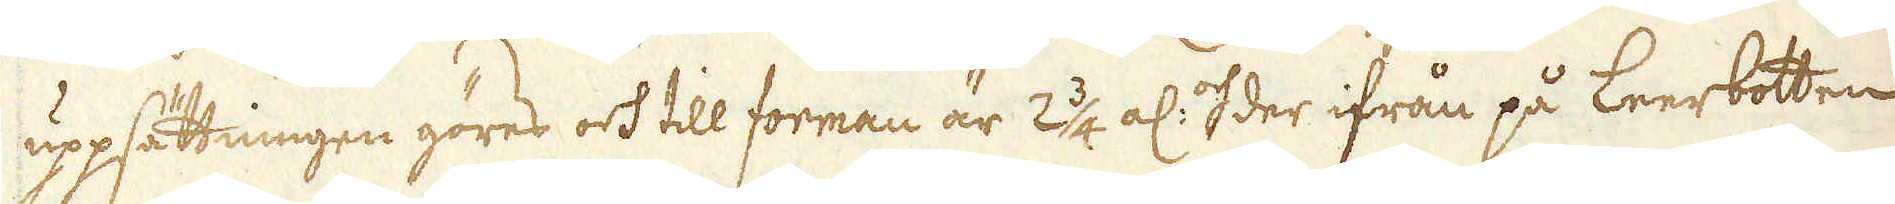uppsättningen göres och till forman är 2 3/4 al: och der ifrån på Leerbotten
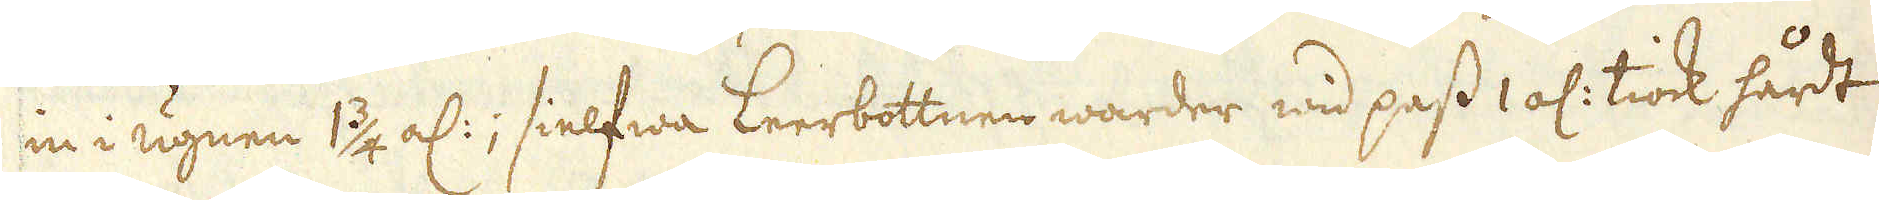in i ugnen 1 3/4 al:; sielfwa Leerbottnen warder wid pass 1 al: tiock hårdt
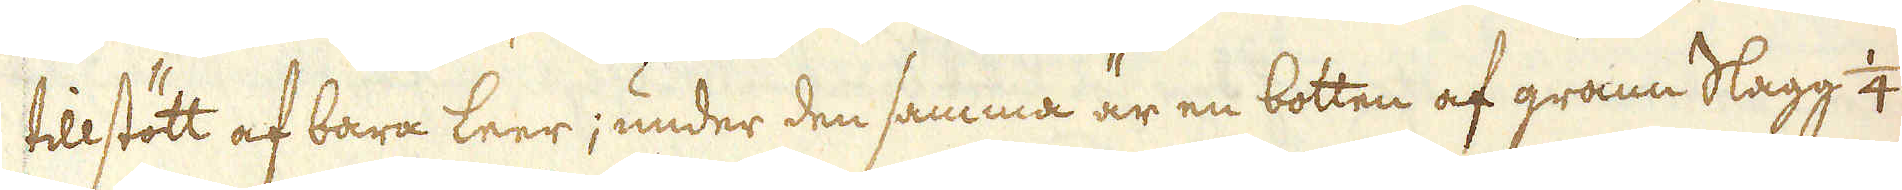tillstött af bara leer; under den samma är en botten af grann Slagg 1/4 al:
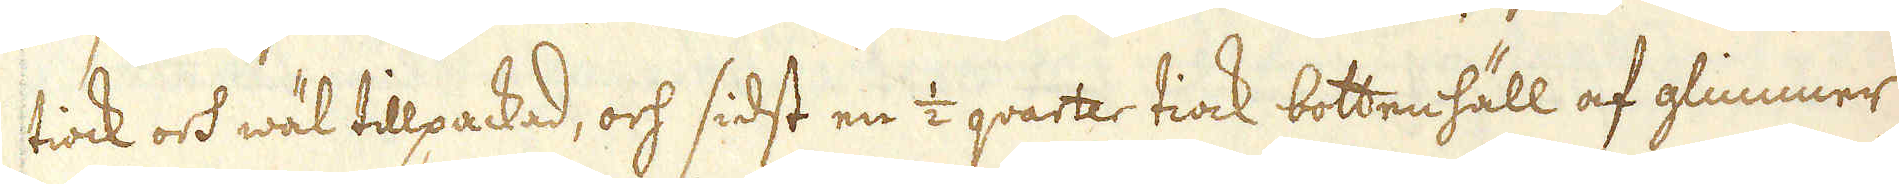tiock och wäl tillpackad, och sidst en 1/2 qvarter tiock bottenhäll af glimmer-
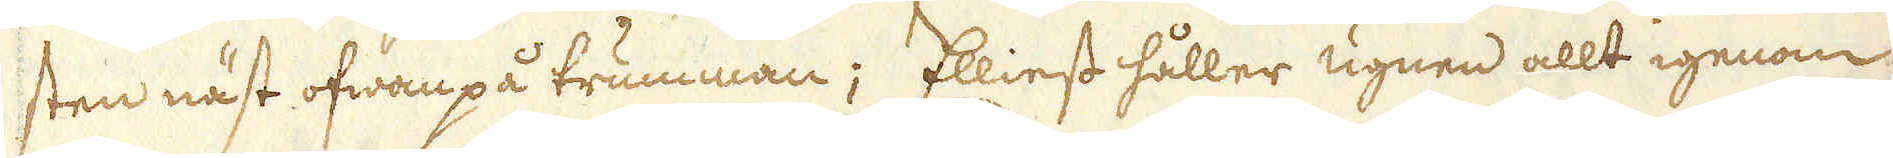sten näst ofwanpå trumman; Elliest håller ugnen allt igenom
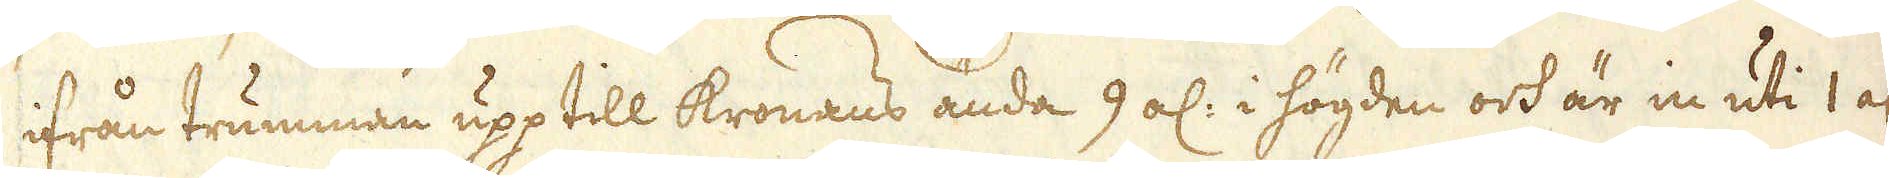ifrån trumman upp till kronans ända 9 al: i högden och är in uti 1 al:
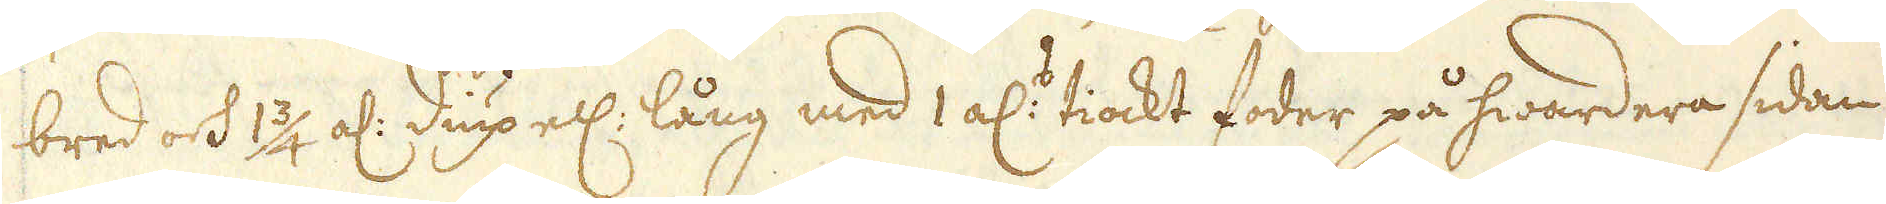bred och 1 3/4 al: diup ell: lång med 1 al:s tiockt foder på hwardera sidan
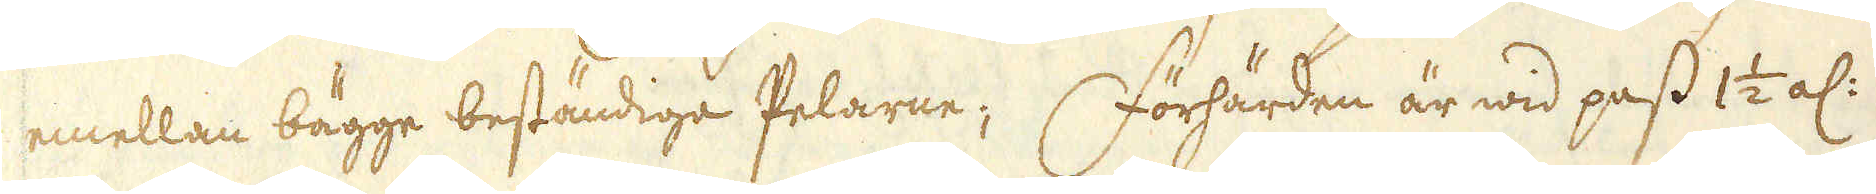emellan bägge beständiga Pelarne; Förhärden är wid pass 1 1/2 al:
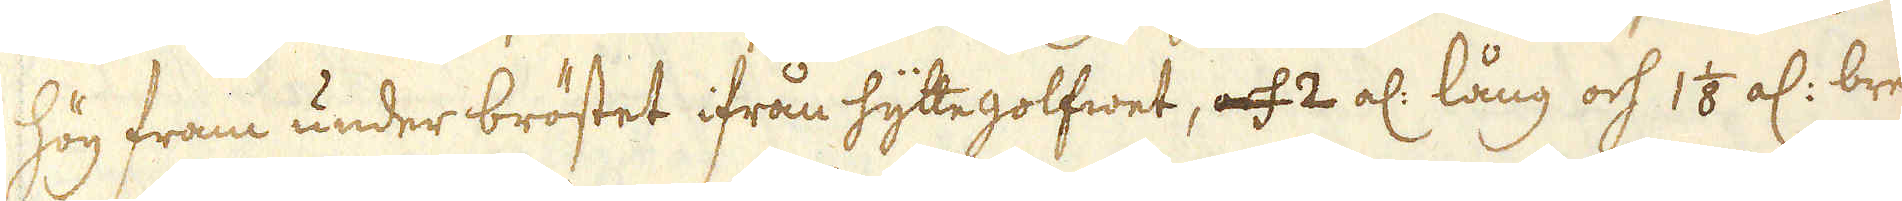hög fram under bröstet ifrån hyttegolfwet, och 2 al: lång och 1 1/8 al: bred
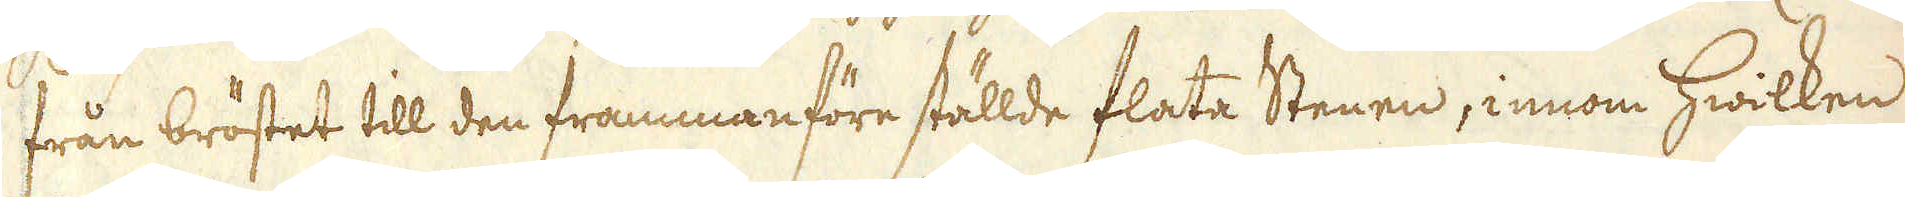från bröstet till den frammanföre ställde flata Stenen, innom hwilken
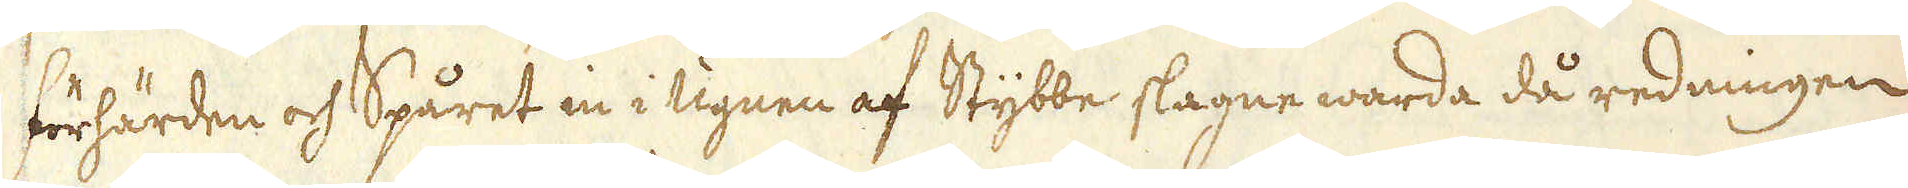förhärden och Spåret in i ugnen af Stybbe slagne warda då redningen
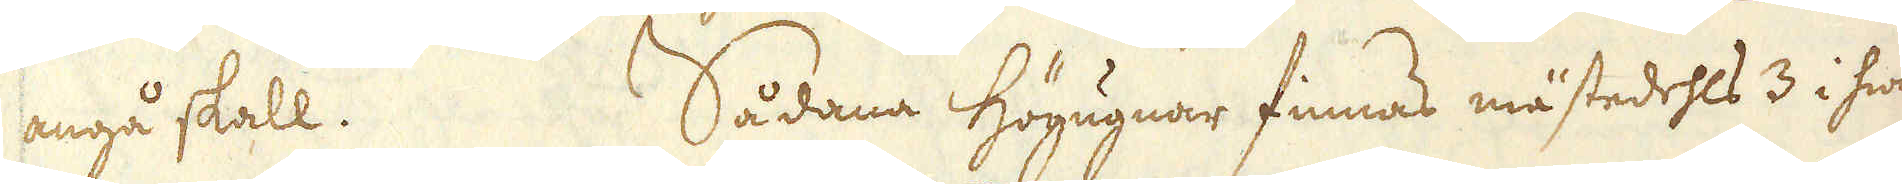angå skall. Sådana högugnar finnas mästedehls 3 i hwar
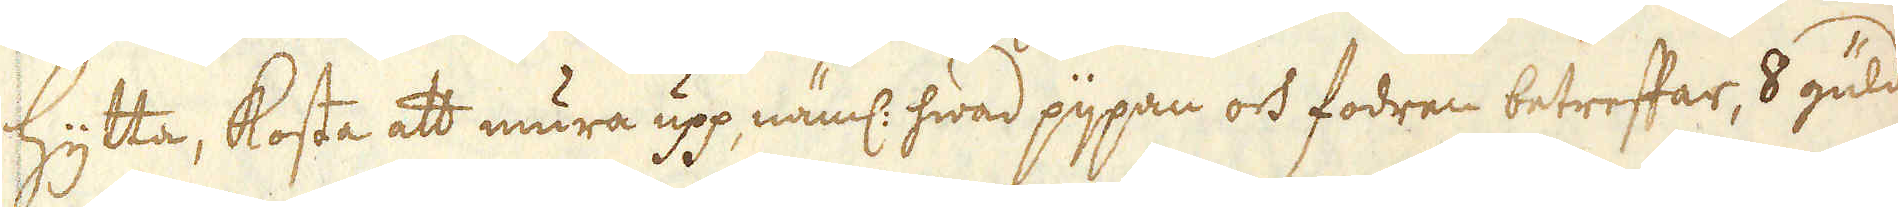hytta, kosta att mura upp näml: hwad pijpan och fodren betreffar, 8 guld i
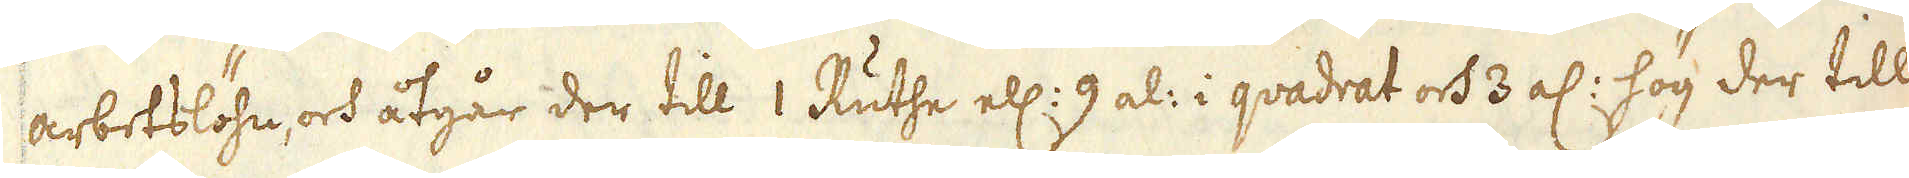arbetslöhn, och åtgår der till 1 Ruthe ell: 9 al: i quadrat och 3 al: hög der till
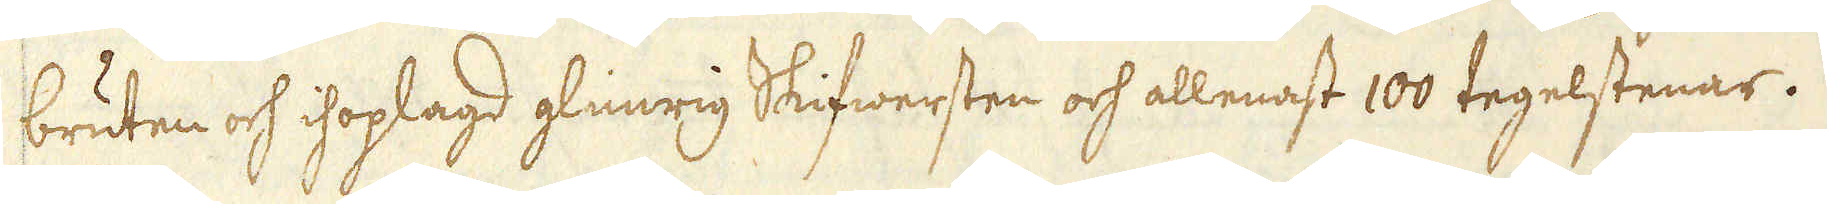bruten och ihoplagd glimrig Skifwersten och allenast 100 tegelstenar.
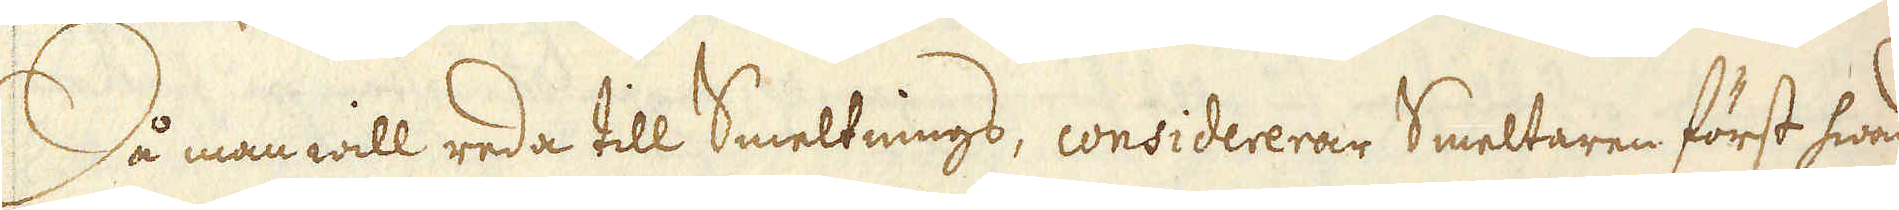Då man will reda till Smeltnings, considererar Smeltaren först hwad
